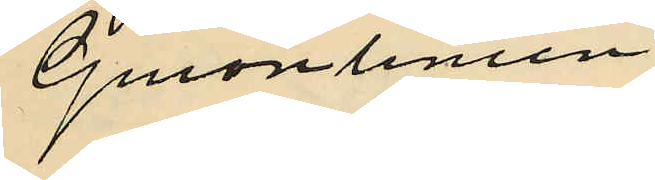"Guionlinien"
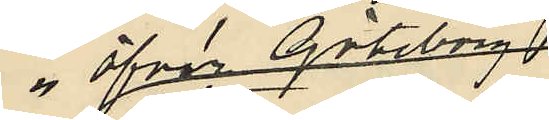öfver Göteborg
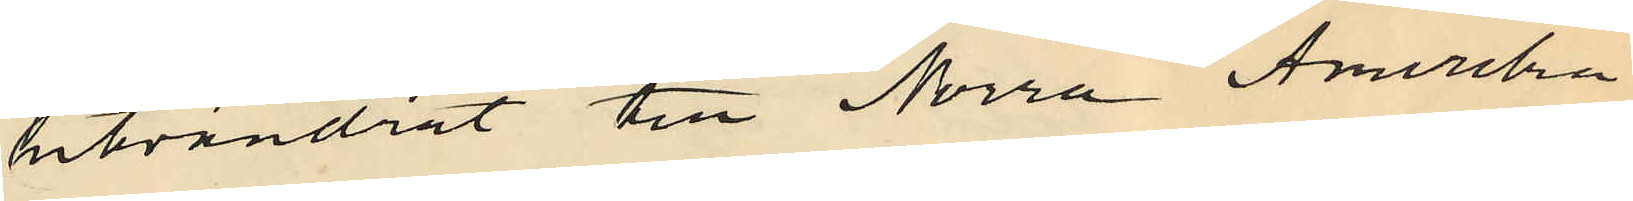utvandrat till Norra Amerika,
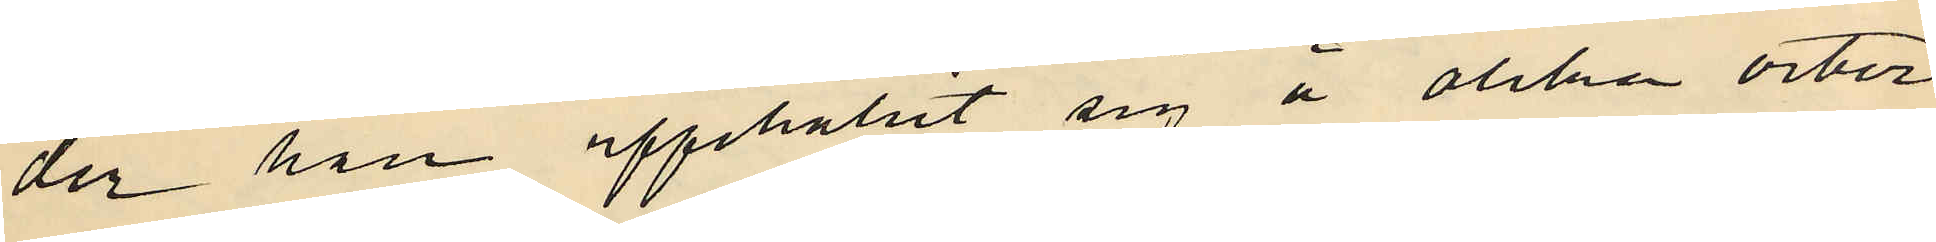der han uppehållit sig å olika orter
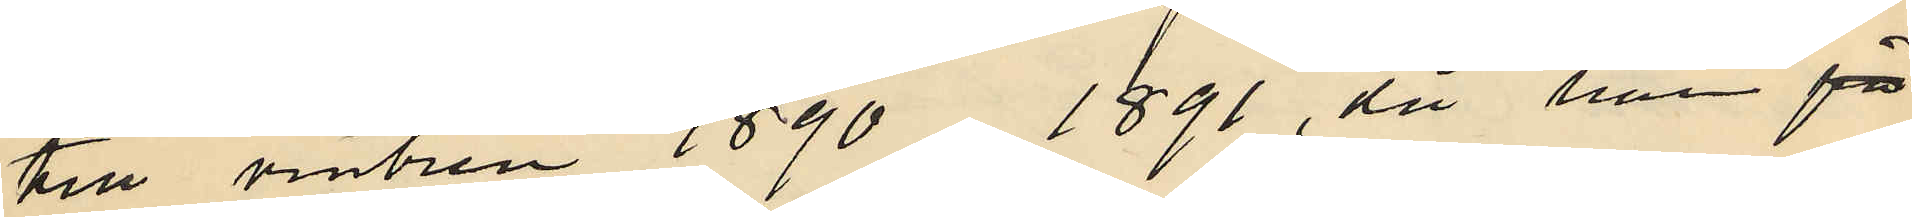till vintren 1890-1891, då han fö
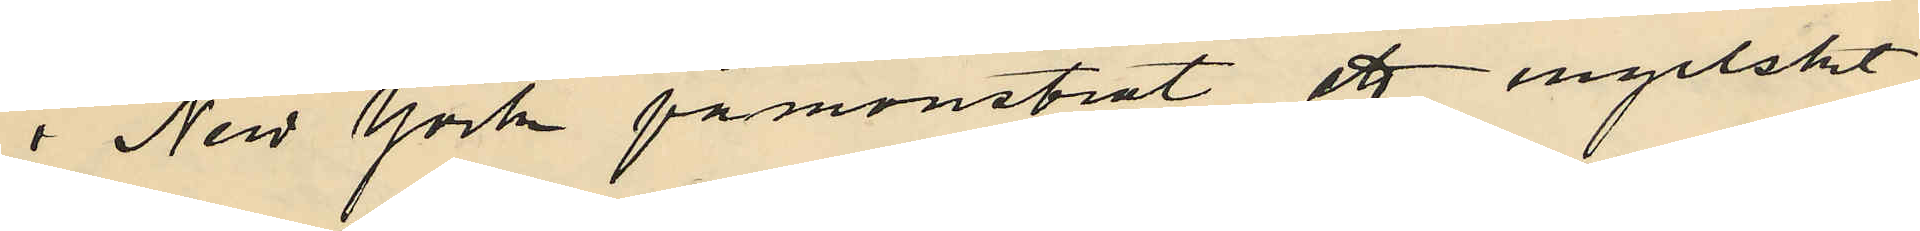i New York påmönstrat ett engelskt
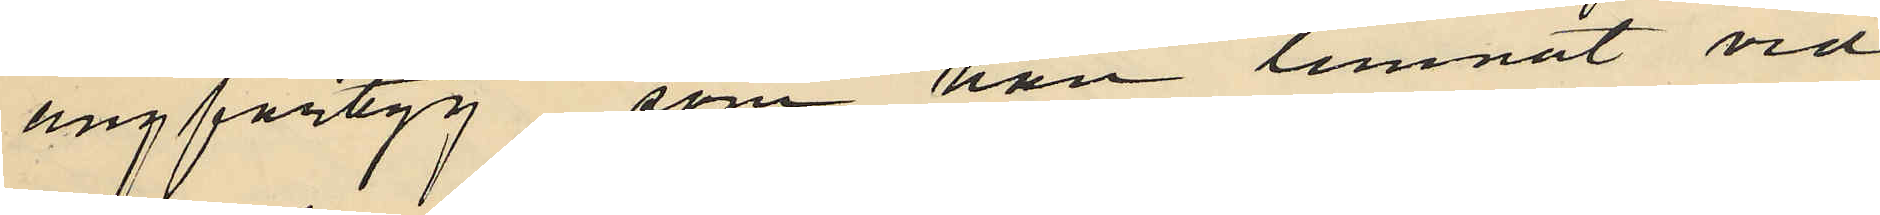ångfartyg, som han lemnat vid
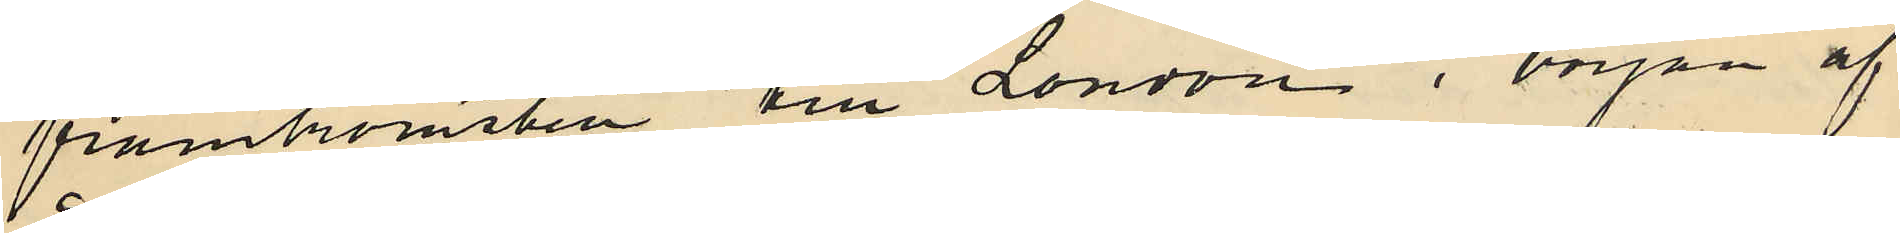framkomsten till London i början af
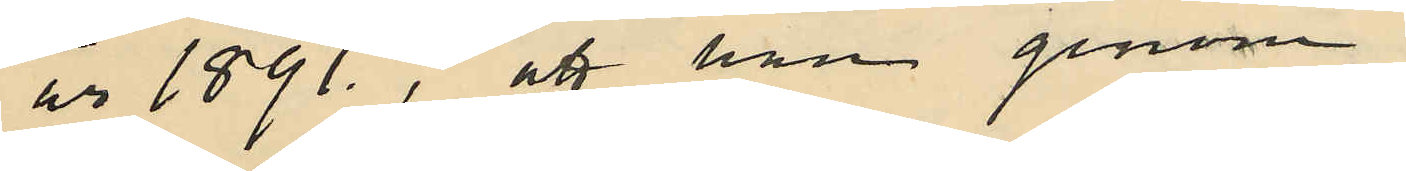år 1891., att han genom
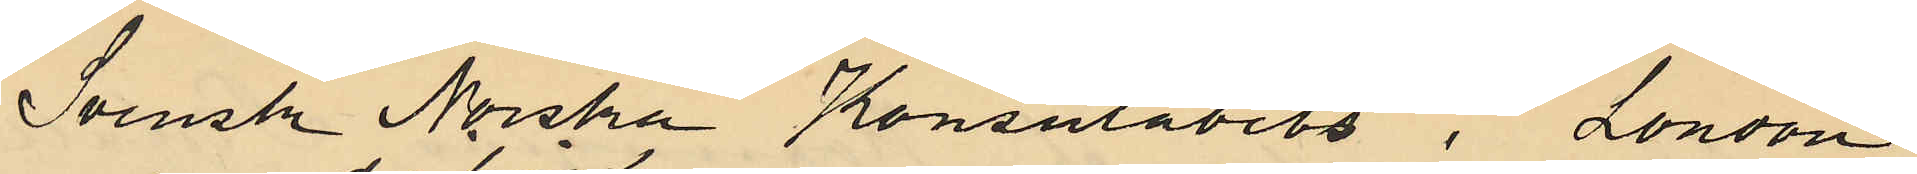Svensk Norska Konsulatets i London
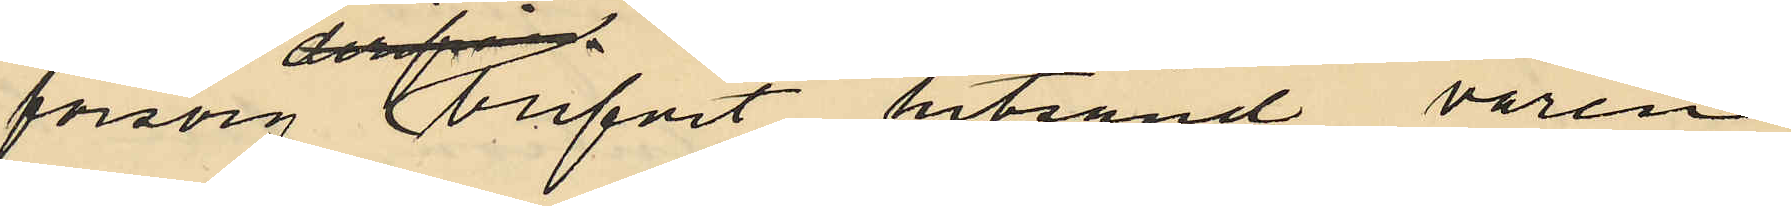försorg blifvet hitsänd våren
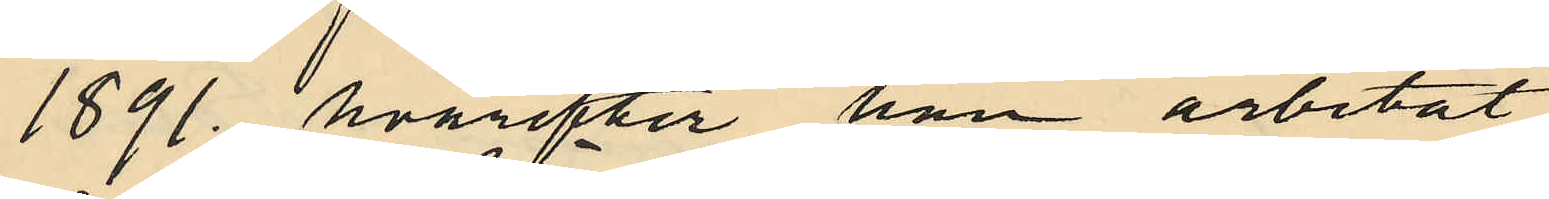1891., hvarefter han arbetat
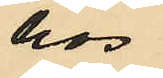hos
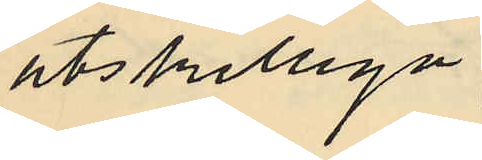åtskilliga
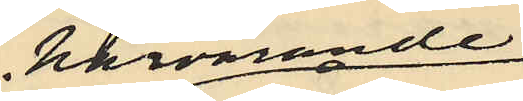härvarande
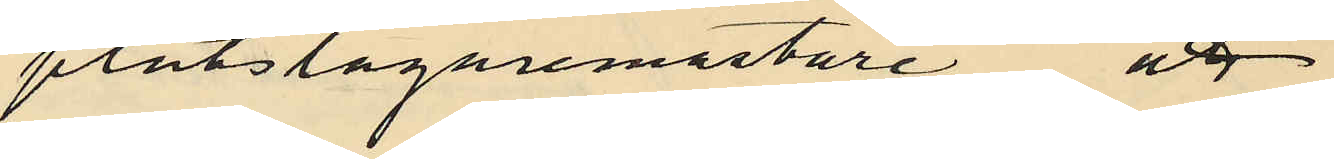plåtslagaremästare att
